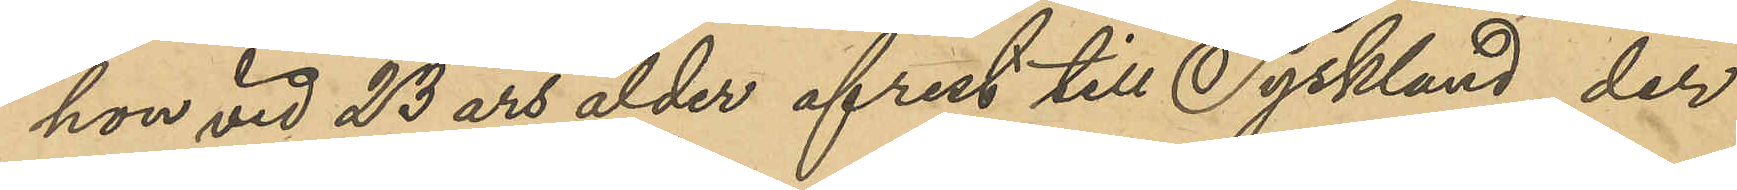hon vid 23 års ålder afrest till Tyskland, der
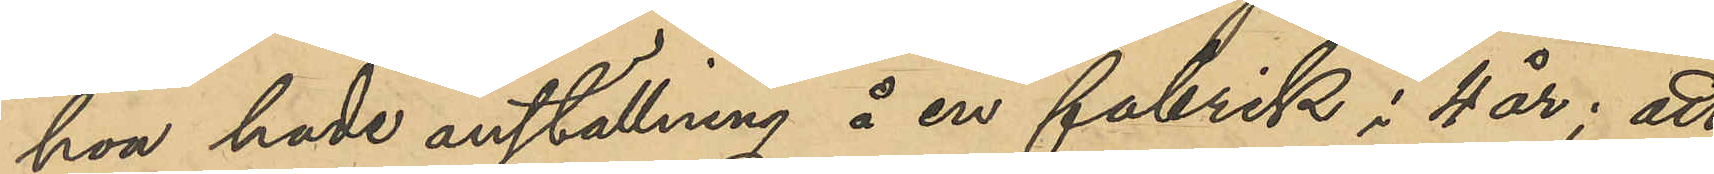hon hade anställning å en fabrik i 4 år; att
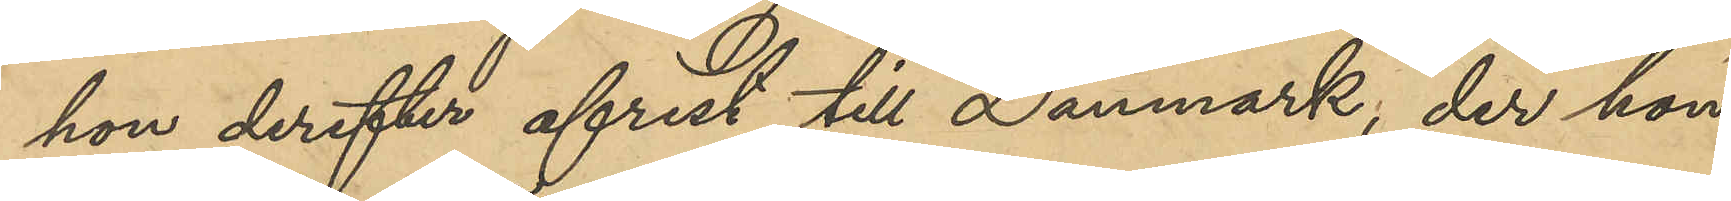hon derefter afest till Danmark, der hon
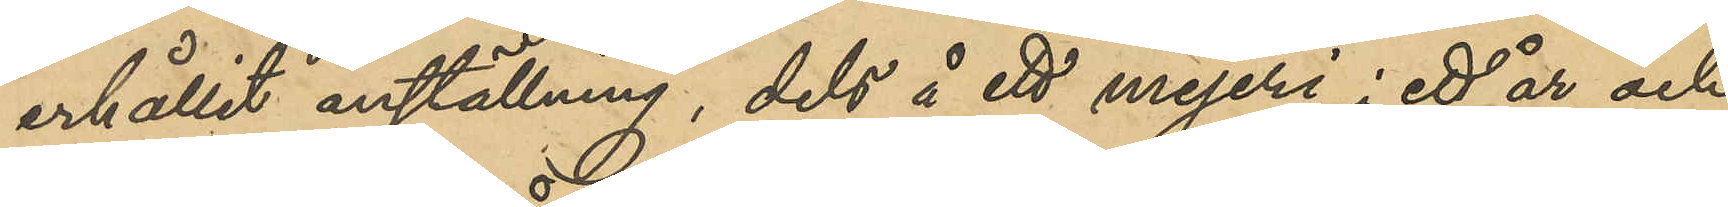erhållit anställning, dels å ett mejeri i ett år och
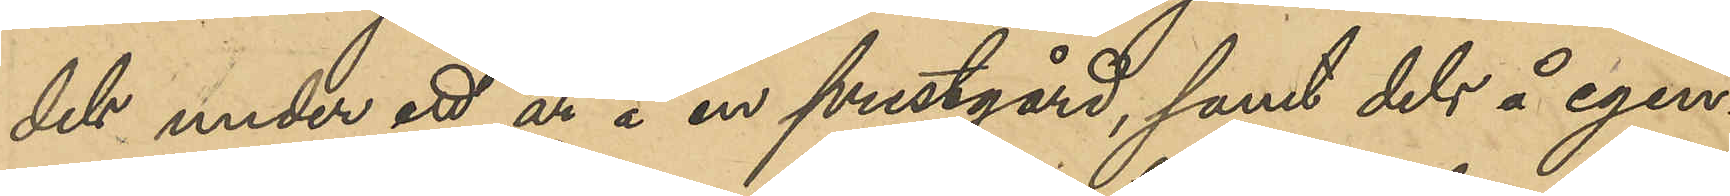dels under ett år å en prestgård, samt dels å egen¬
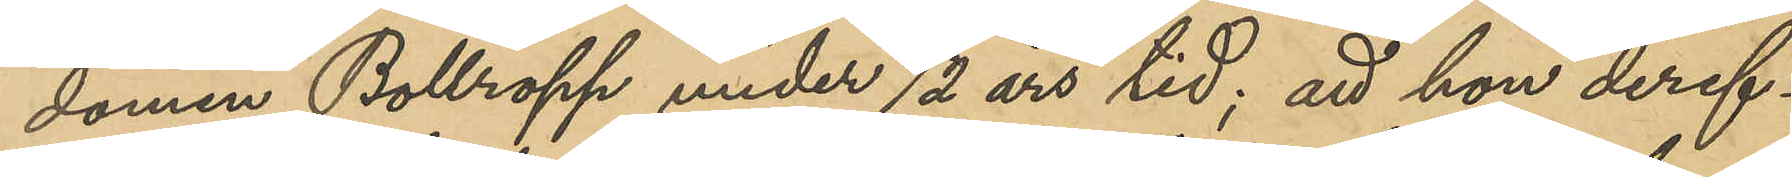domen Bollropp under ½ års tid; att hon deref¬
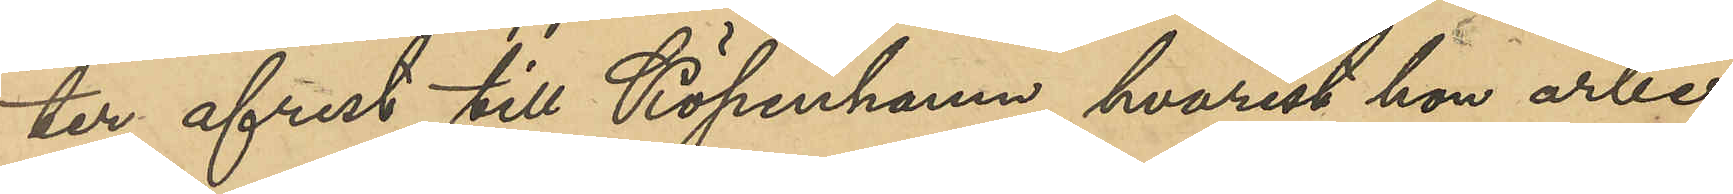ter afrest till Köpenhamn, hvarest hon arbe¬
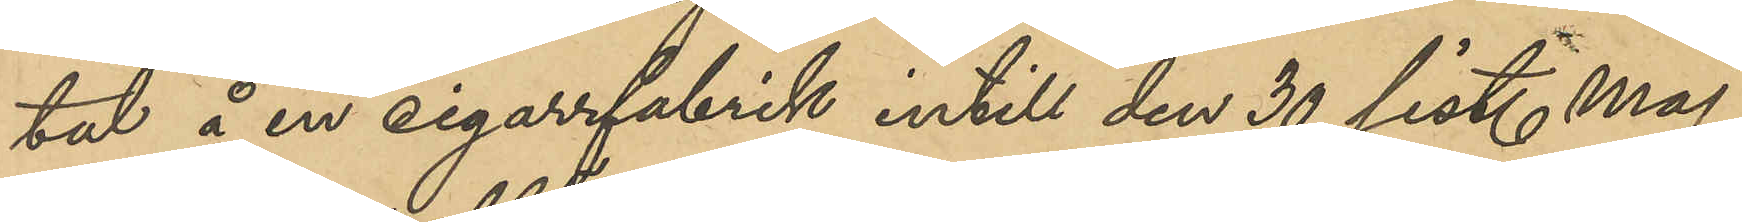tat å en cigarrfabrik intill 30 sist. maj;
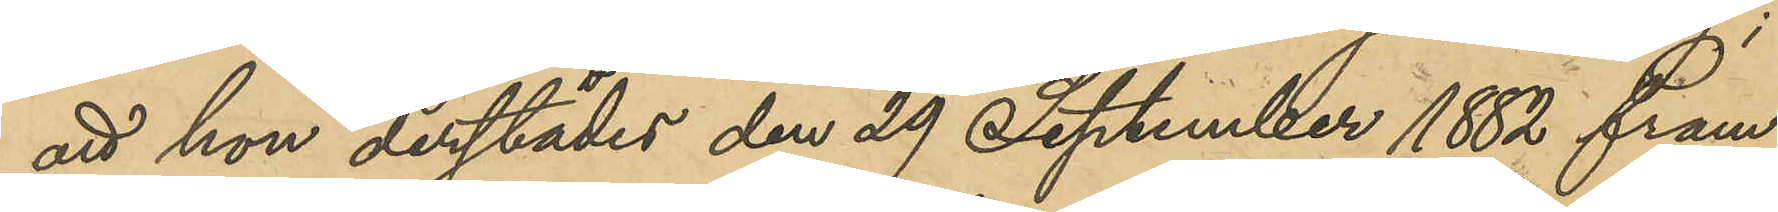att hon derefter den 29 Septmeber 1882 fram¬
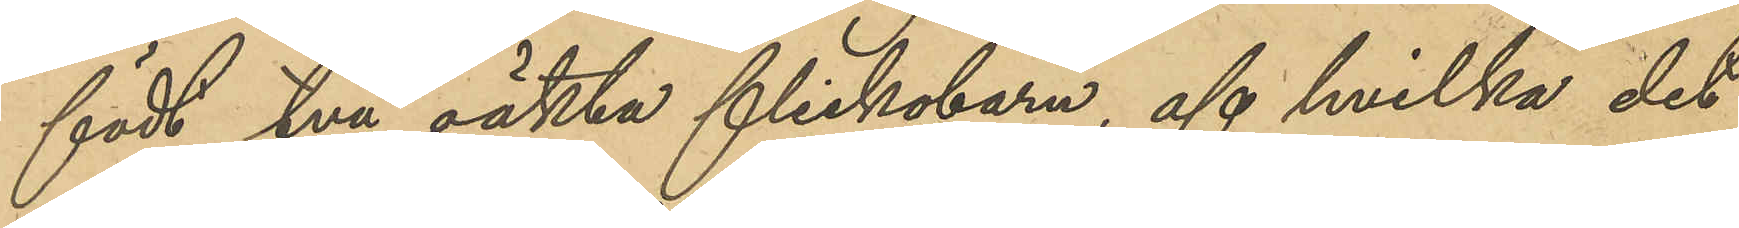födt två oäkta flickebarn, af hvilka det
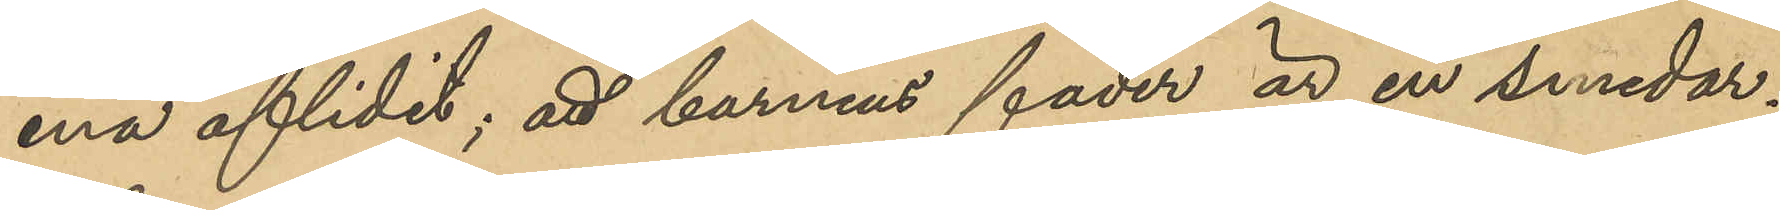ena aflidit; att barnens fader är en smedar¬
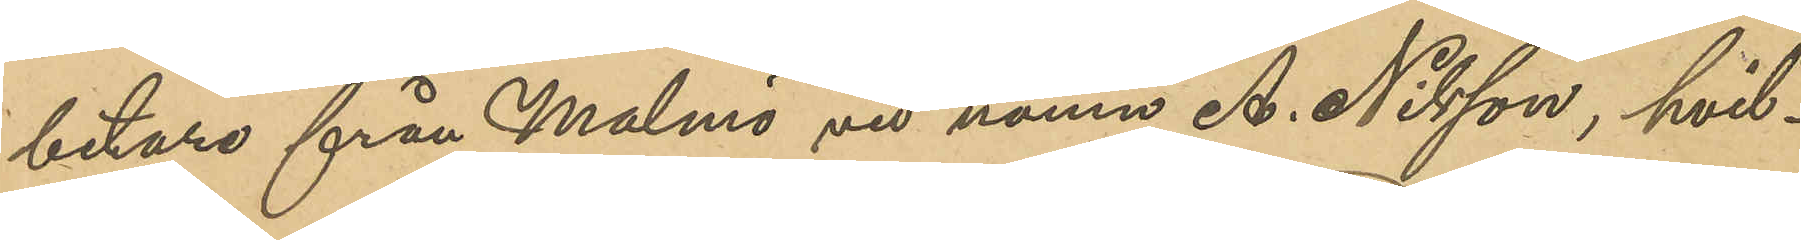betare från Malmö vid namn A. Nilsson, hvil¬
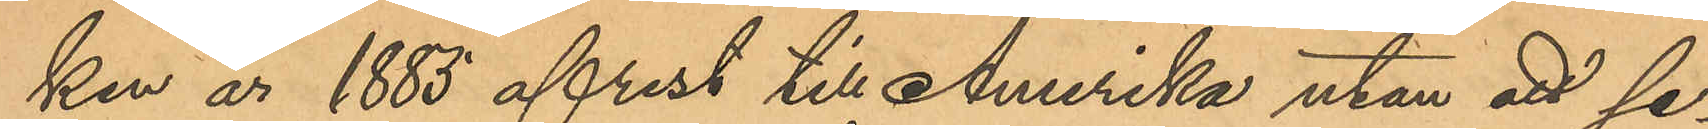ken år 1885 afrest till Amerika utan att se¬
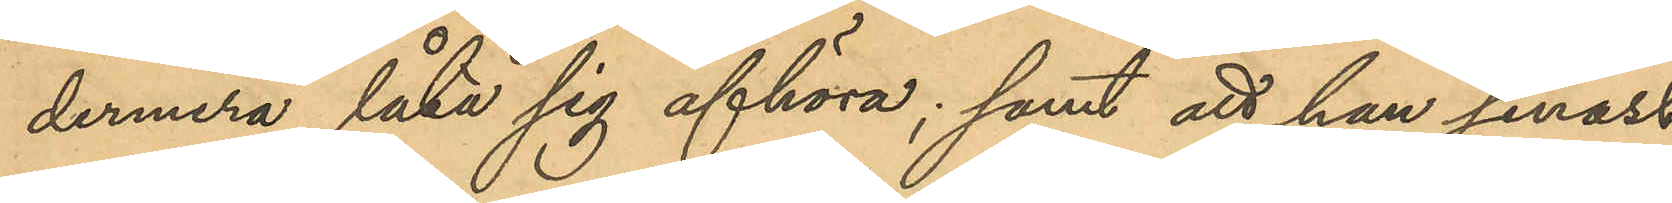dermera låta sig afhöra; samt att hon senast
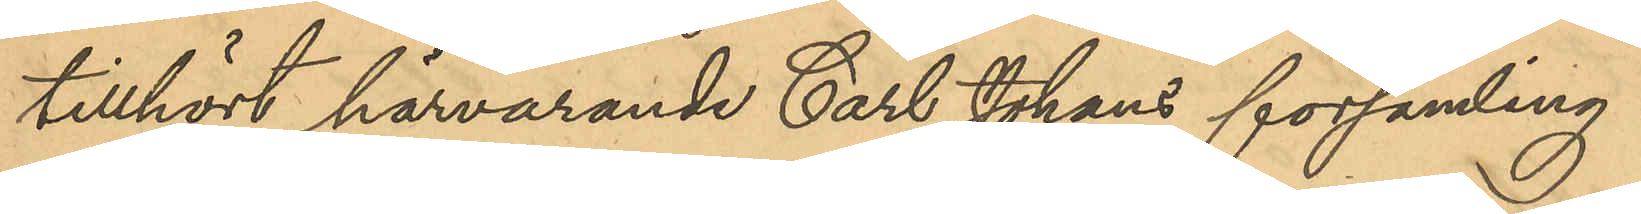tillhört härvarande Carl Johans församling.
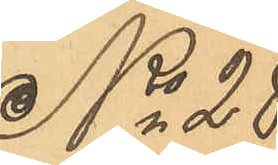No 28
